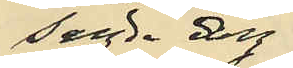sagda dag
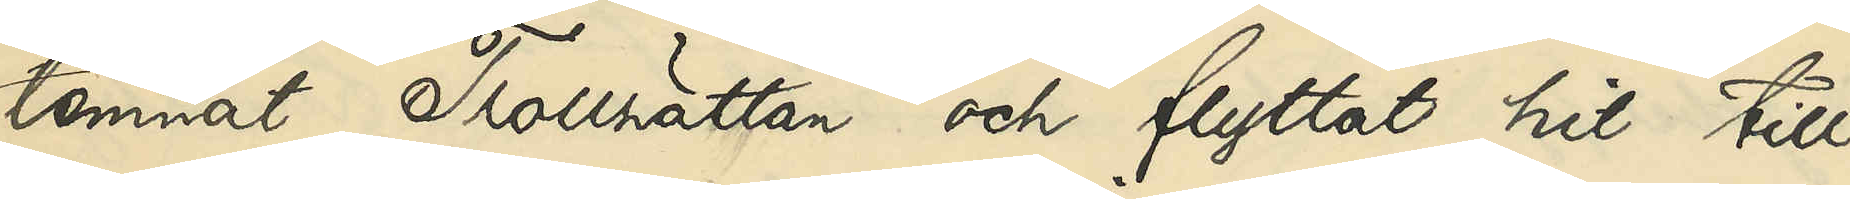lemnat Trollhättan och flyttat hit till
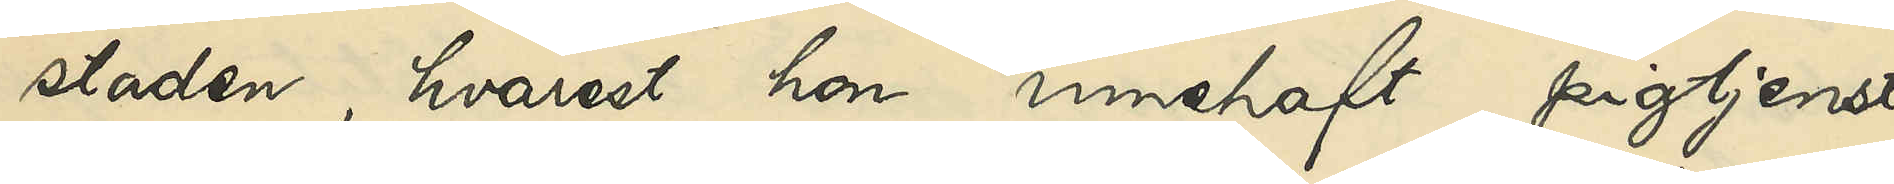staden, hvarest hon innehaft pigtjenst
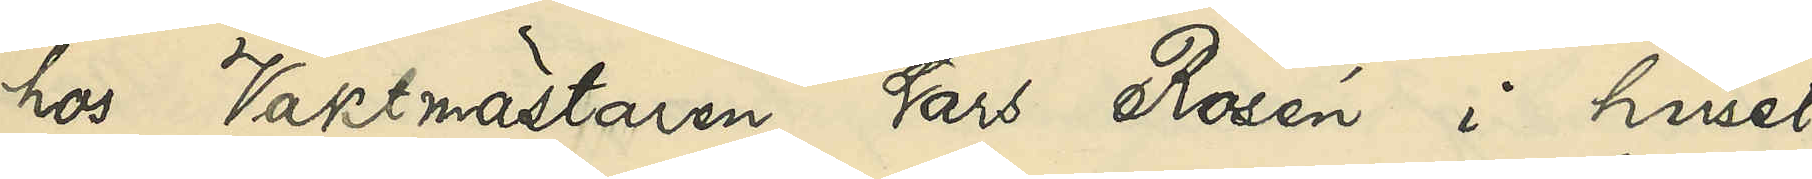hos Vaktmästaren Lars Rosén i huset
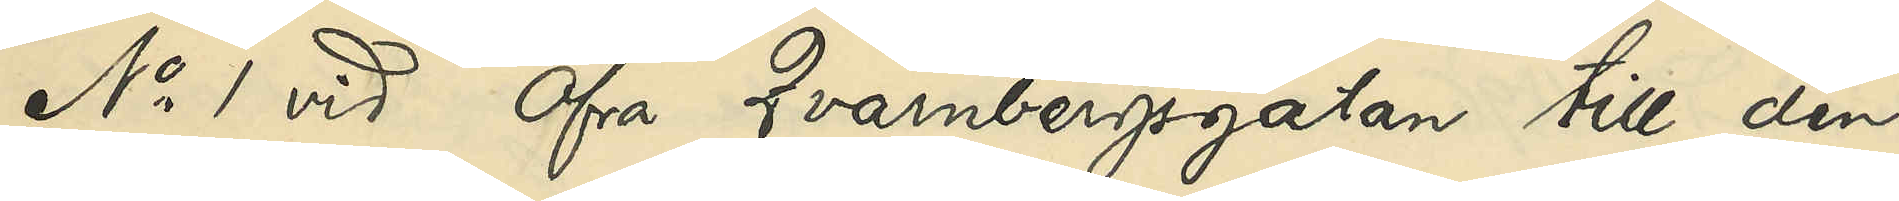No 1 vid Öfra Qvarnbergsgatan till den
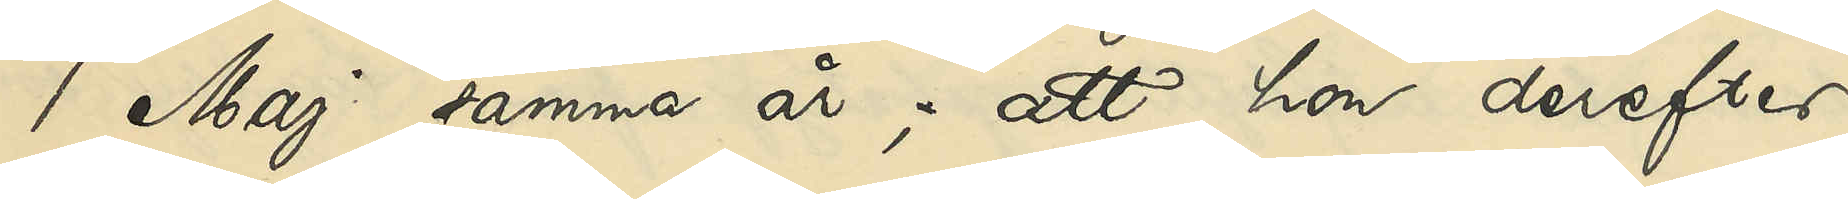1 Maj samma år; att hon derefter
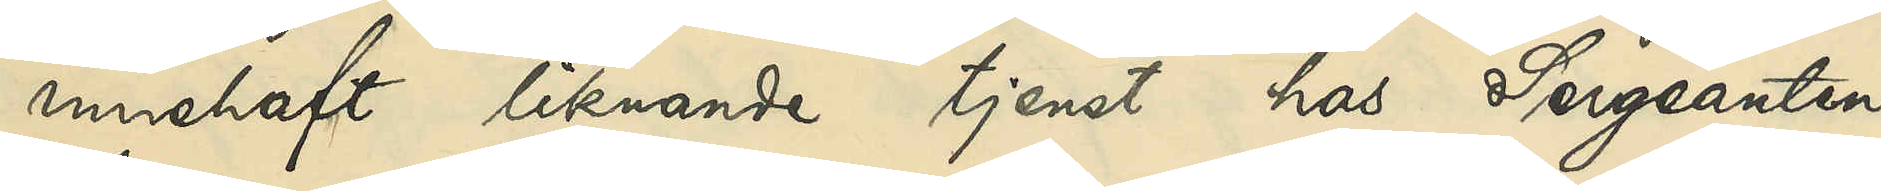innehaft liknande tjenst hos Sergeanten
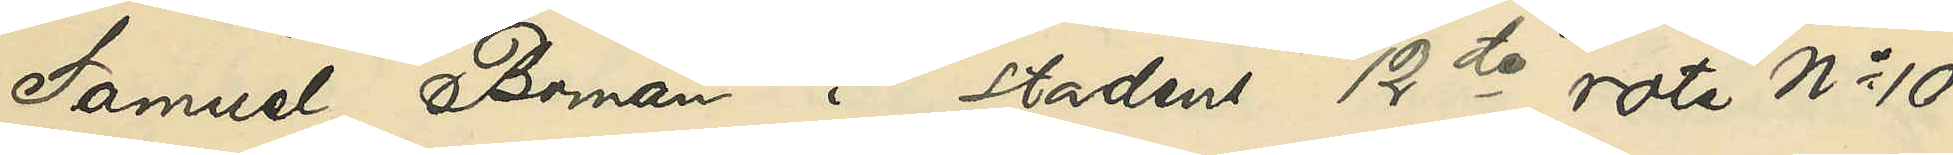Samuel Boman i stadens 12te rote No 10
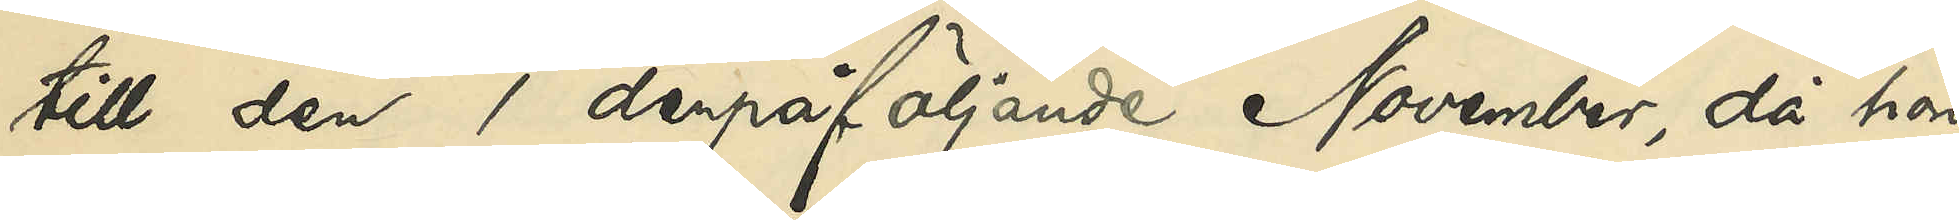till den derpåföljande November, då hon
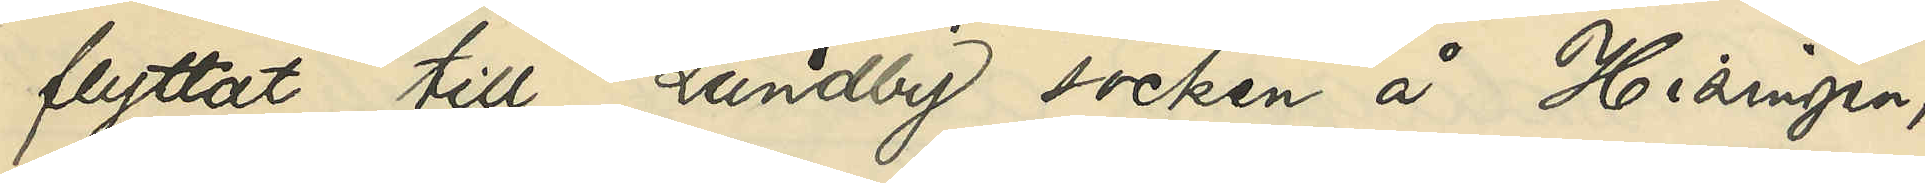flyttat till Lundby socken å Hisingen,
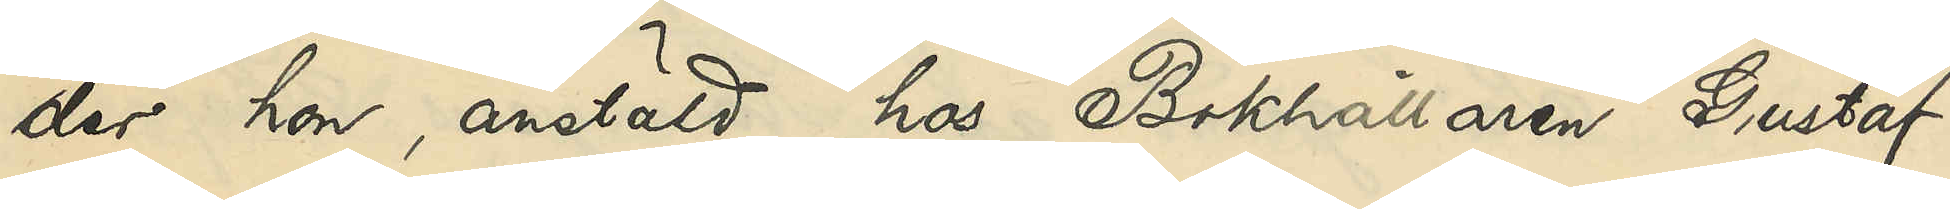der hon, anstäld hos Bokhållaren Gustaf
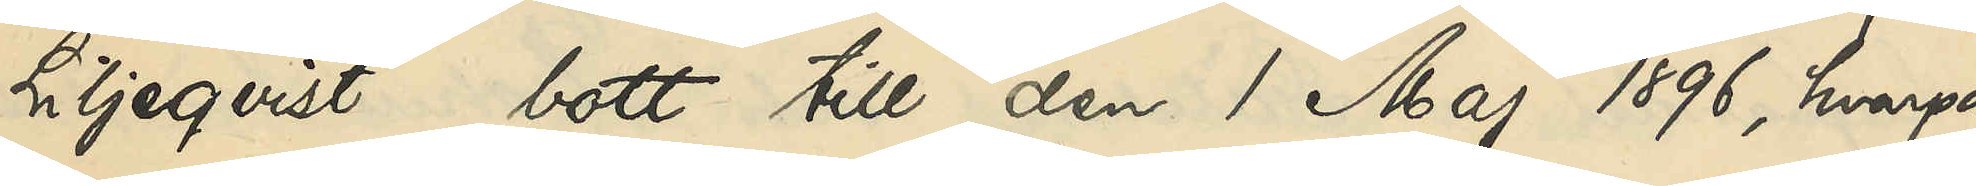Liljeqvist, bott till den 1 Maj 1896, hvarpå
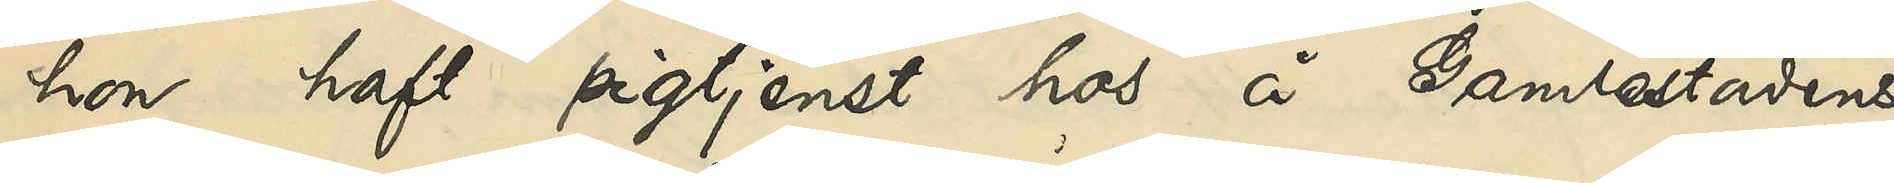hon haft pigtjenst hos å Gamlestadens
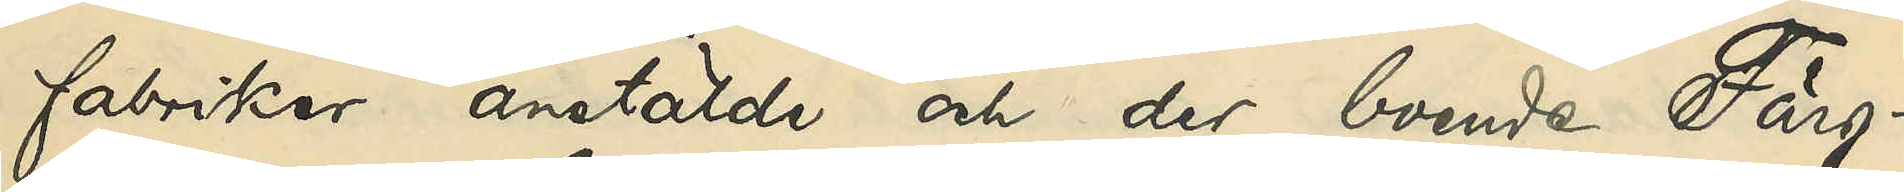fabriker anstälde och der boende Färg¬
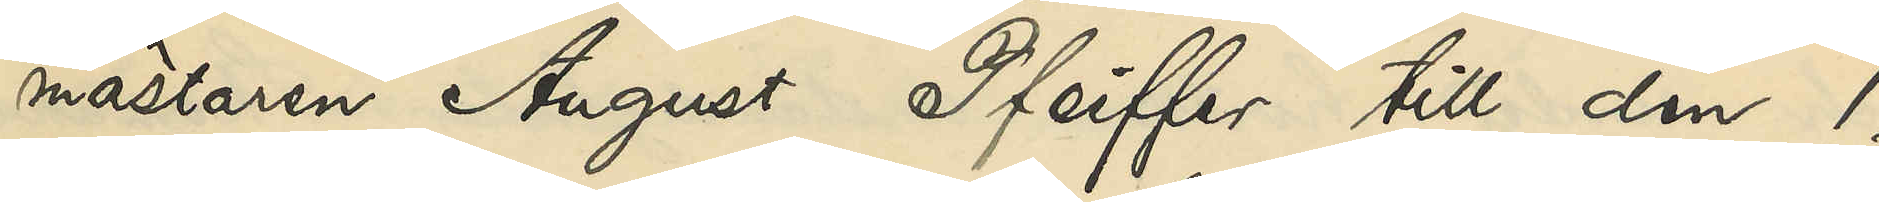mästaren August Pfeiffer till den 1
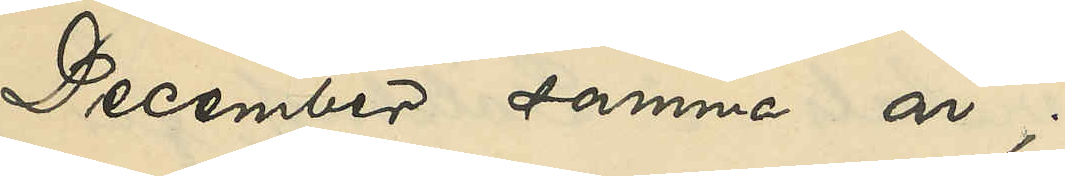December samma år;
